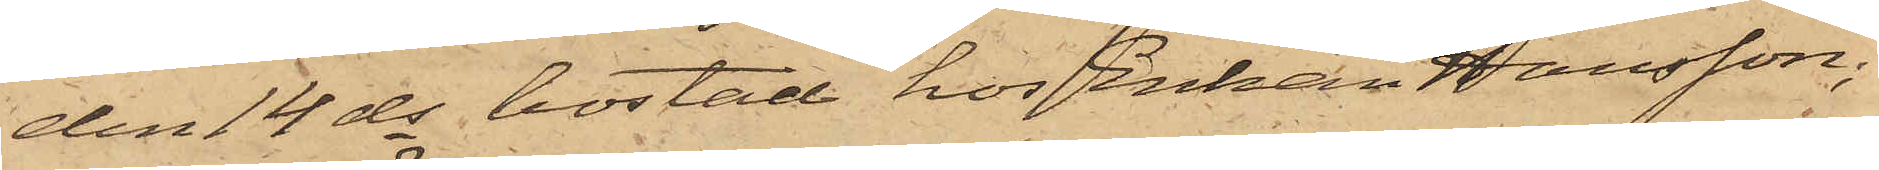den 14 ds bostad hos Enkan Hansson;
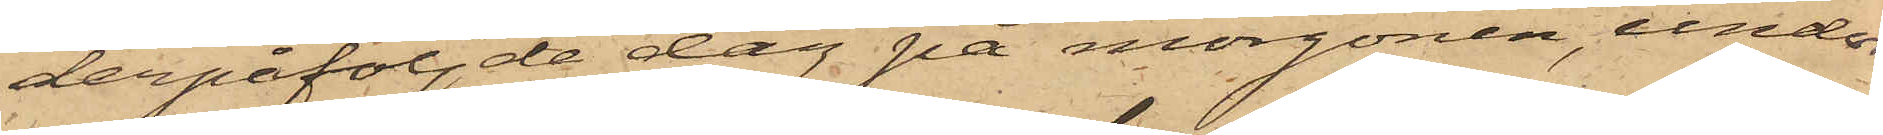derpåföljde dag på morgonen, under
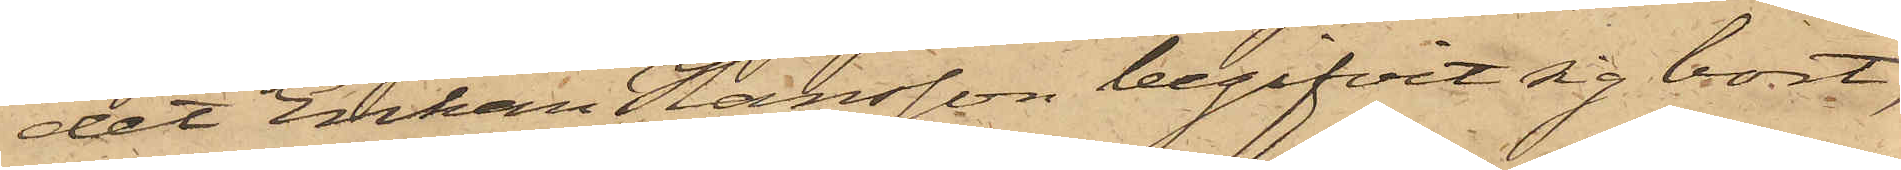det Enkan Hansson begifvit sig bort,
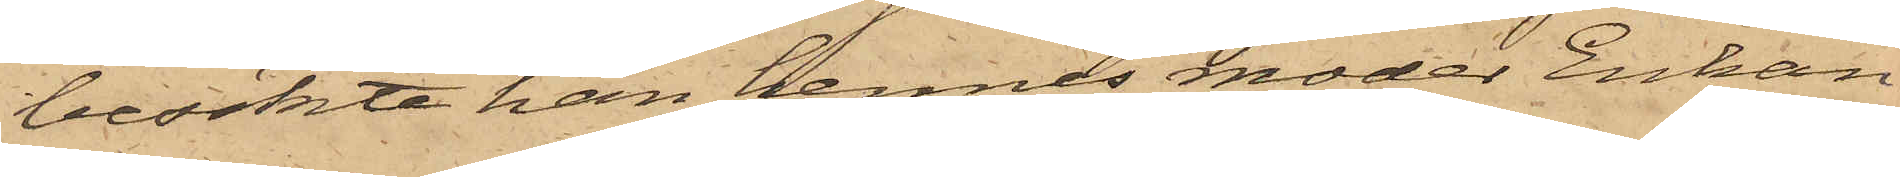besökte han hennes moder Enkan
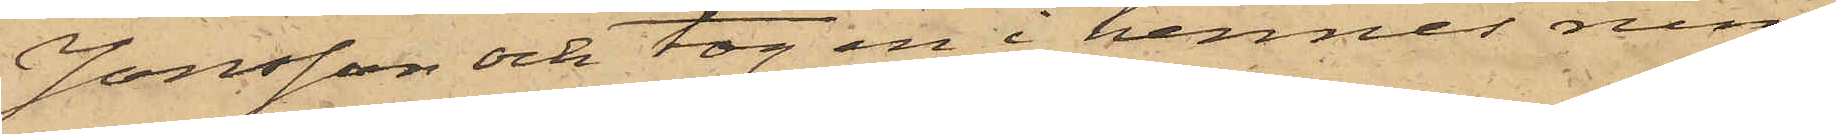Jonsson och tog en i hennes rum
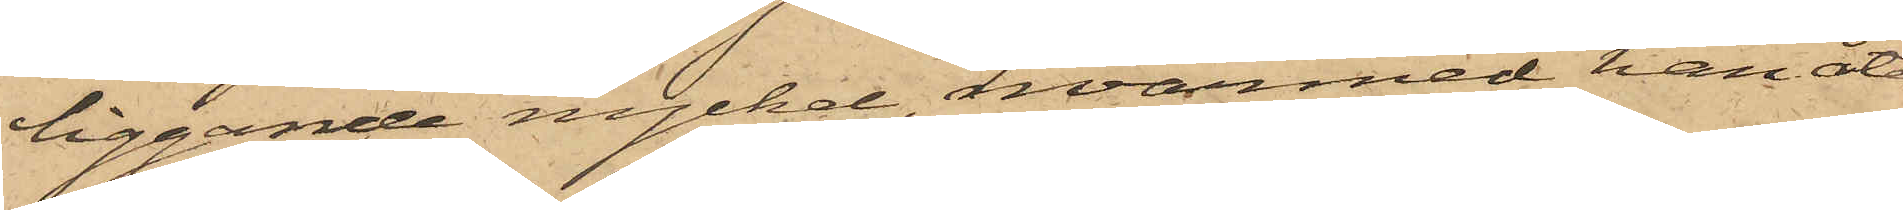liggande nyckel, hvarmed han åter¬
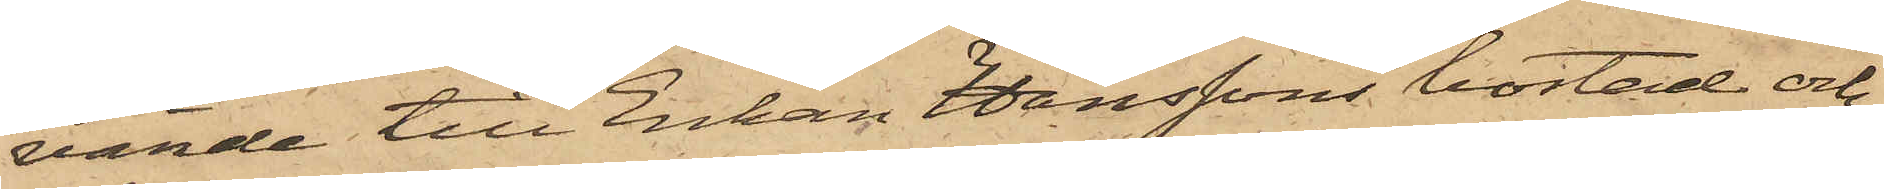vände till Enkan Hanssons bostad och
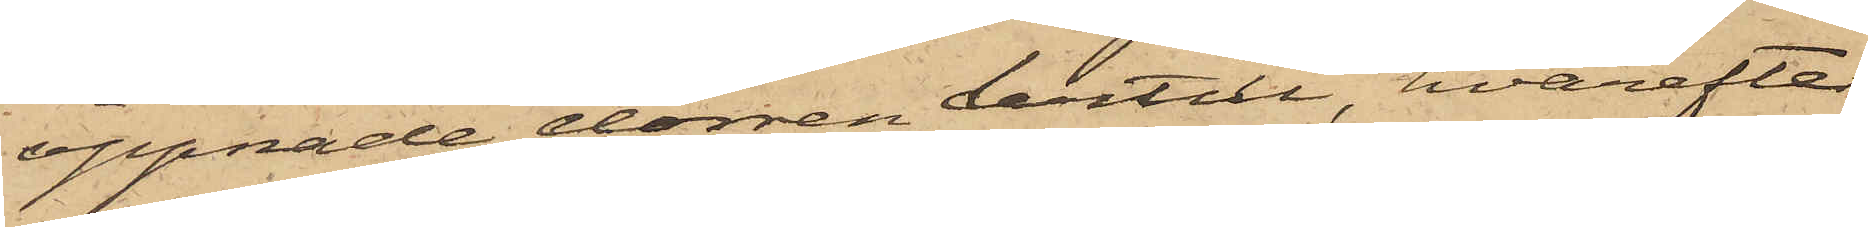öppnade dörren dertill, hvarefter
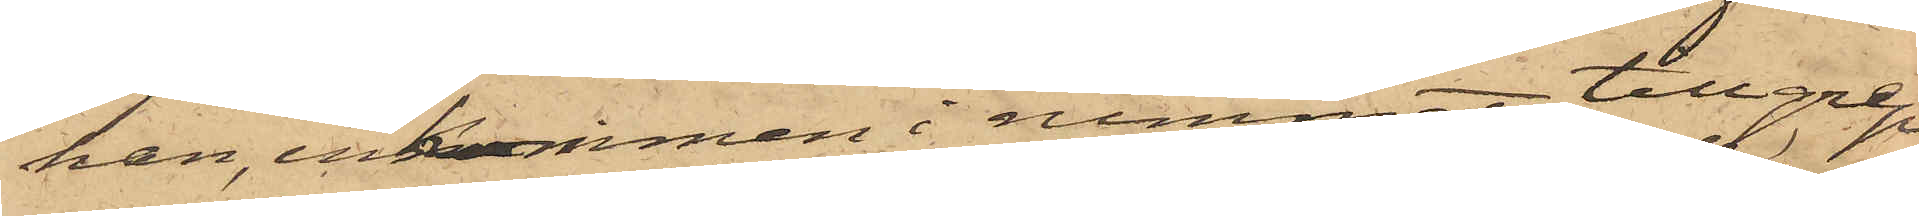han, inkommen i rummet, tillgrep
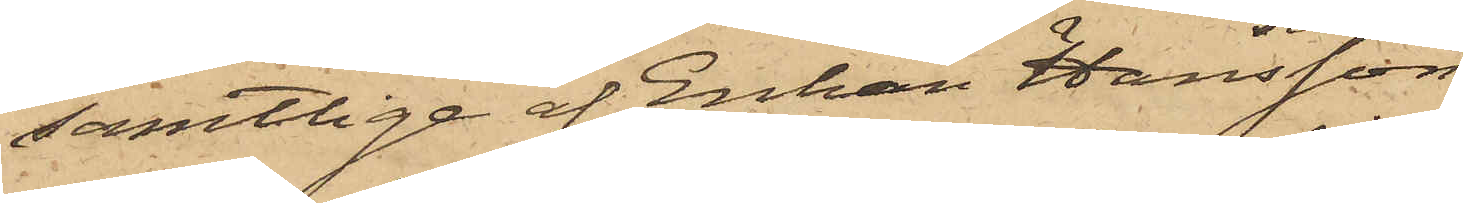samtlige af Enkan Hansson
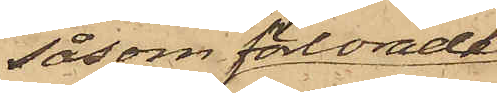såsom förlorade
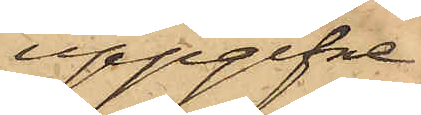uppgifne
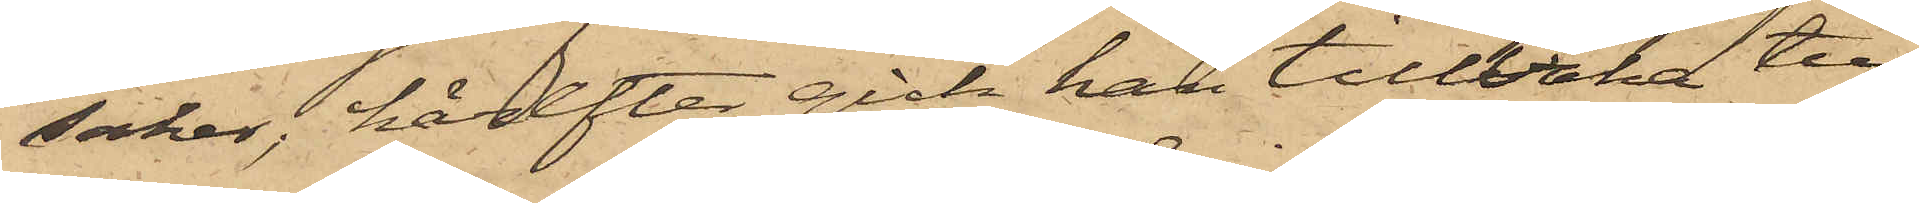saker, härefter gick han tillbaka till
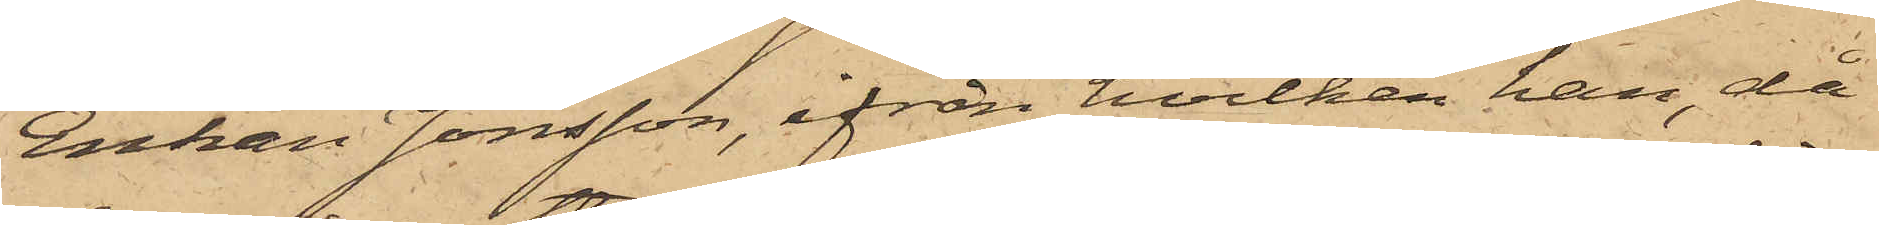Enkan Jonsson, ifrån hvilken han, då
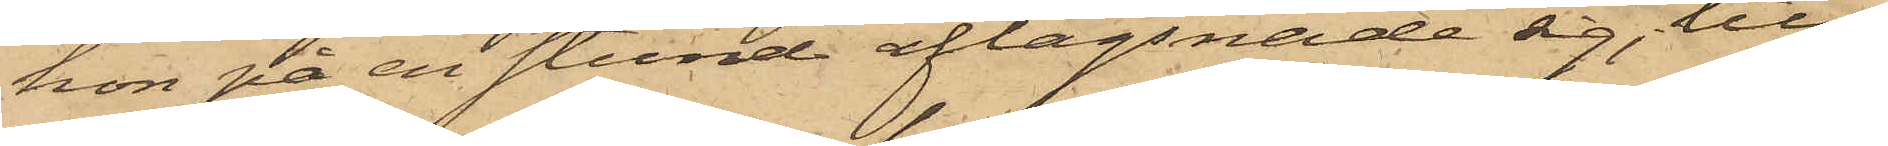hon på en stund aflägsnade sig, till¬
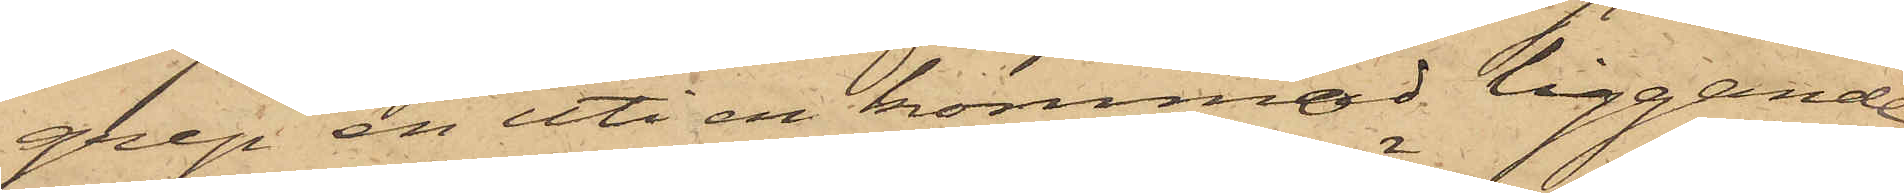grep en uti en kommod liggande
